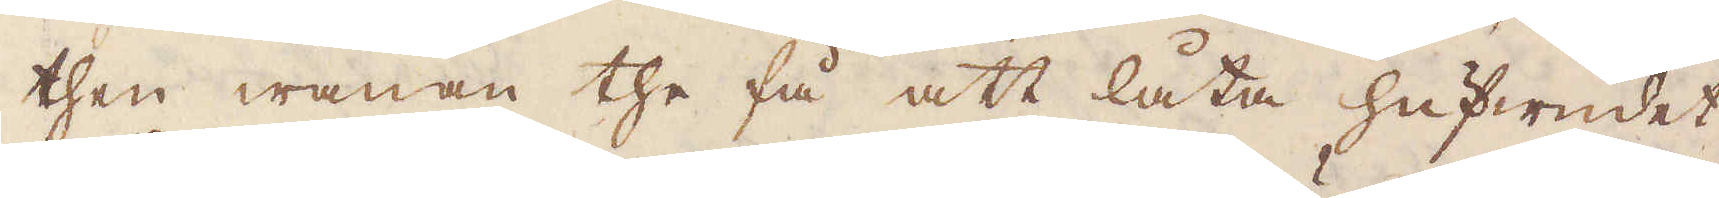then wanan the få att låta hufwudet
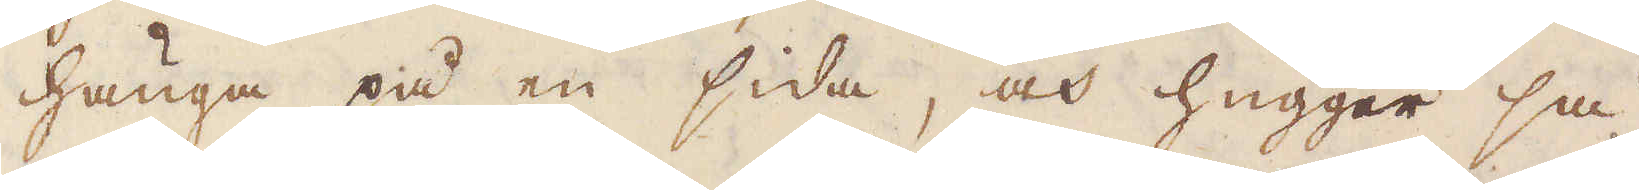hänga på en sida, och hugger så
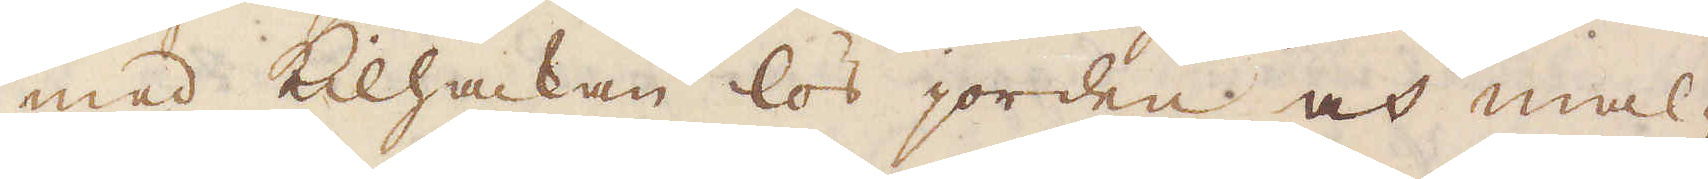med Kilhackan lös jorden och mal-
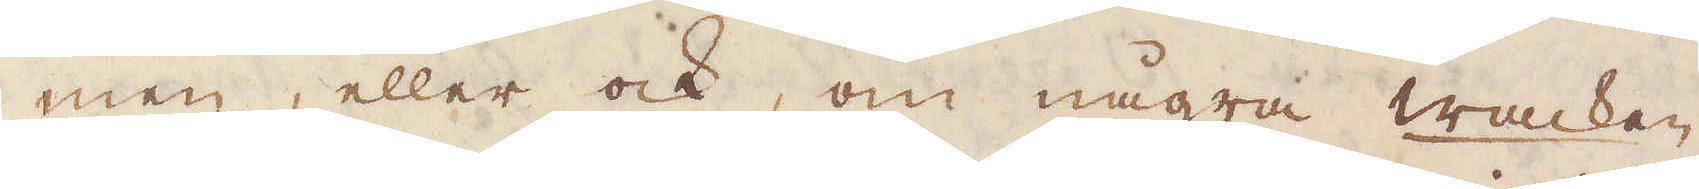men, eller ock, om några wacken
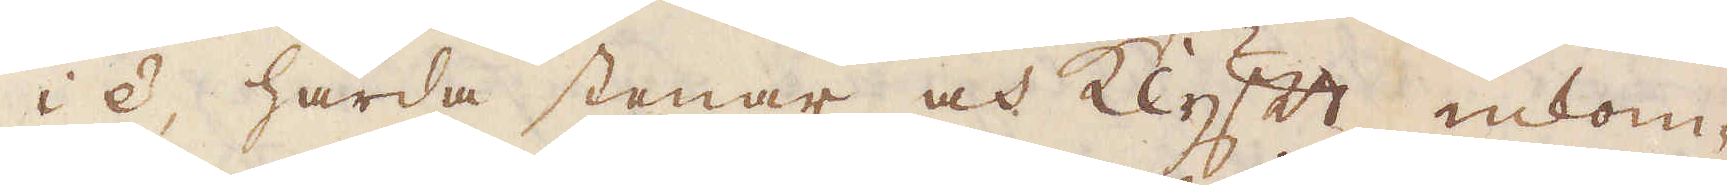i e, hårda stenar och klyft enkom-
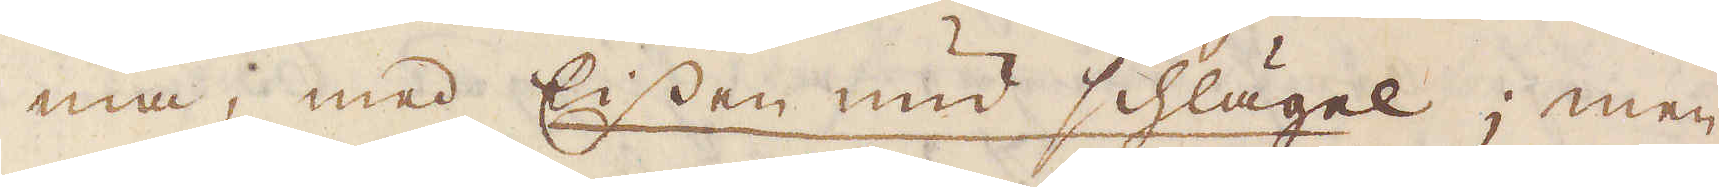ma, med Eissen und schlägel; men
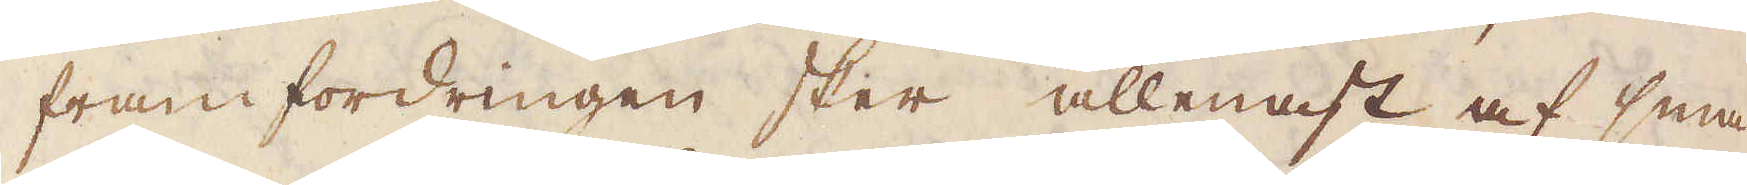fram fordringen sker allenast af små-
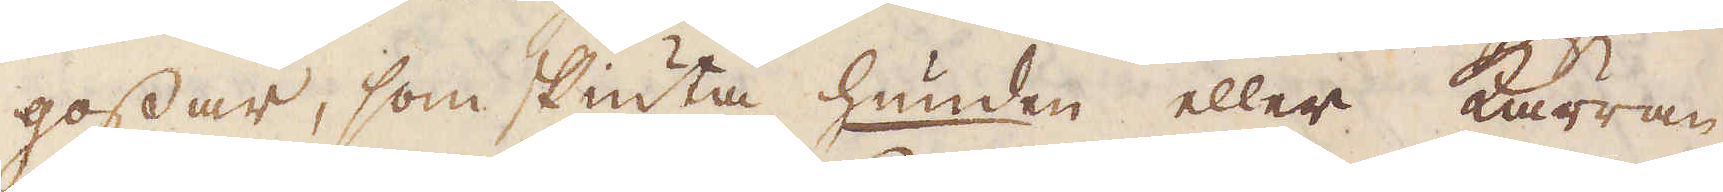gossar, som skiuta hunden eller kärran
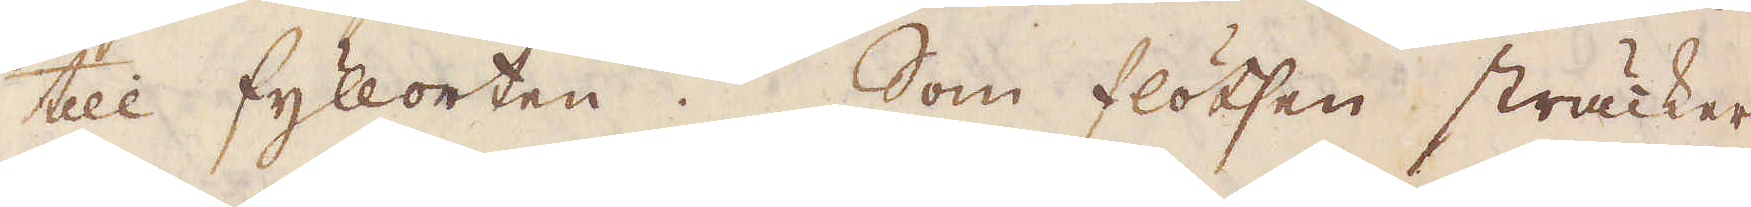till fyllorten. Som flötsen sträcker
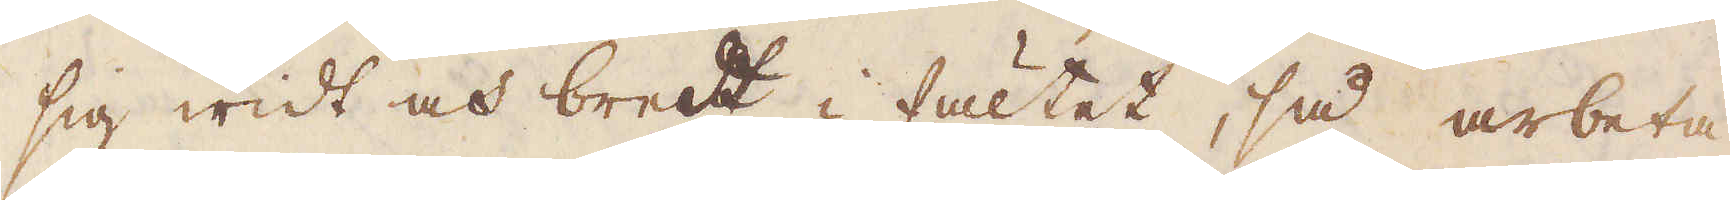sig widt och bredt i fältet, så arbeta
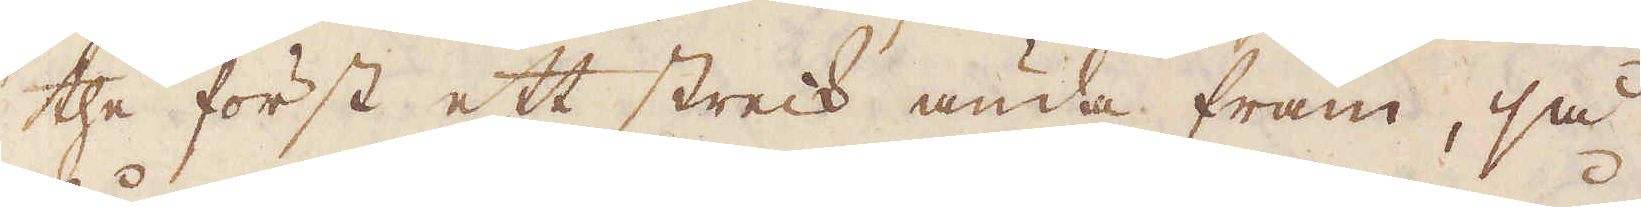the först ett streck ända fram, så
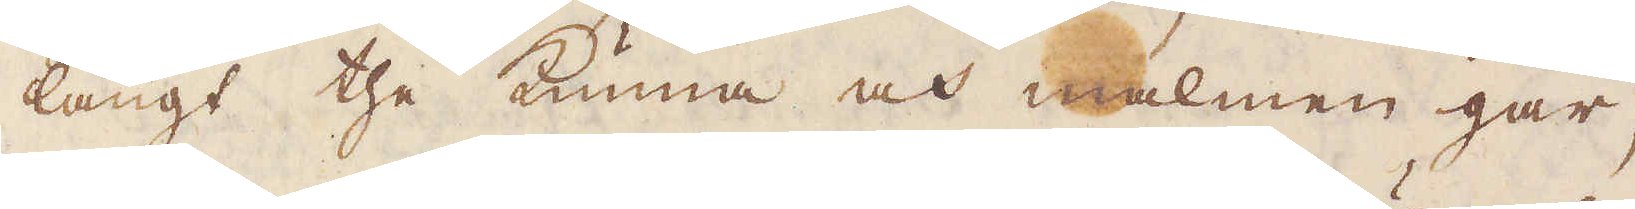långt the kunna och malmen går,
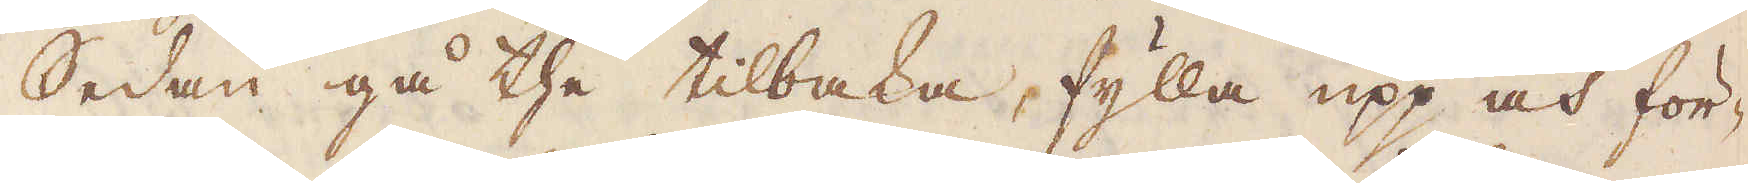Sedan gå the tillbaka, fylla upp och för-
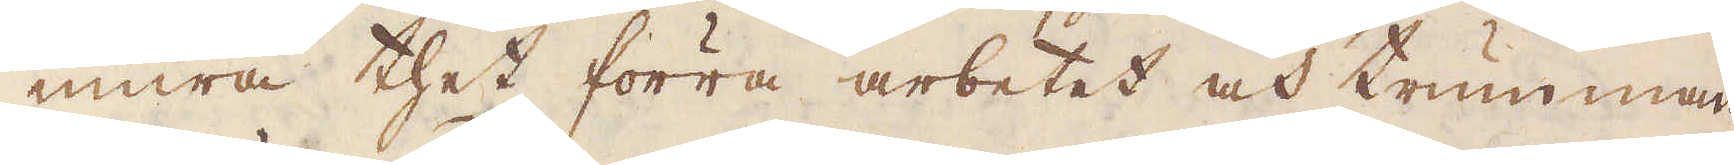mura thet förra arbetet och trumman
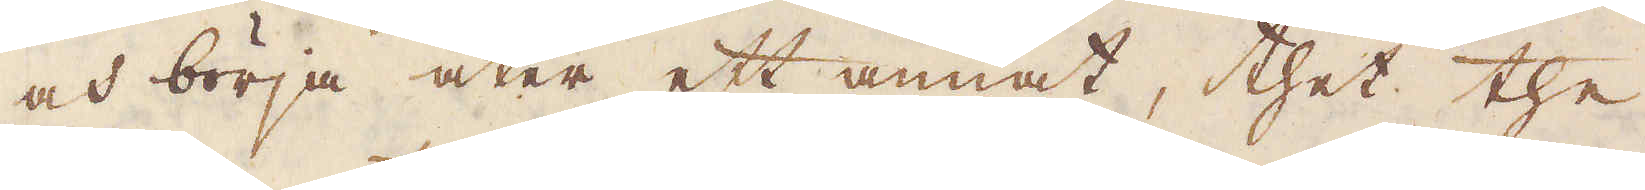och börja åter ett annat, thet the
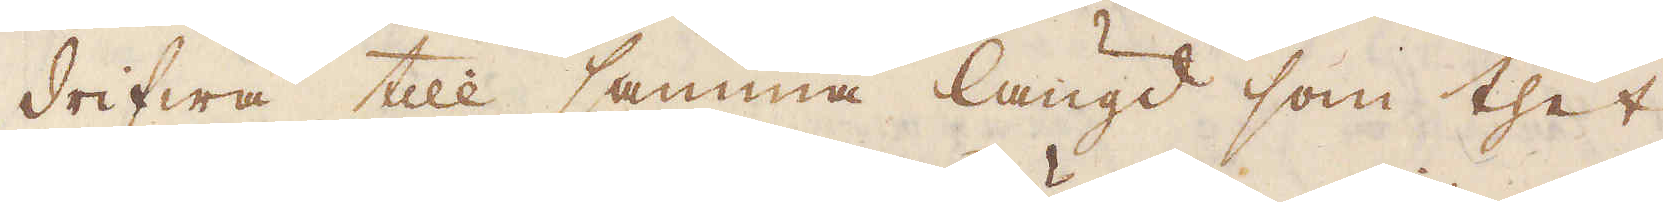drifwa till samma längd som thet
